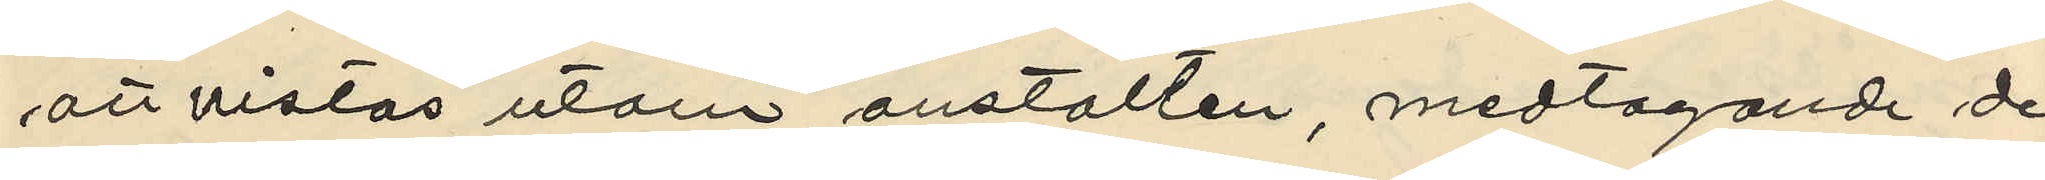att vistas utom anstalten, medtagande de
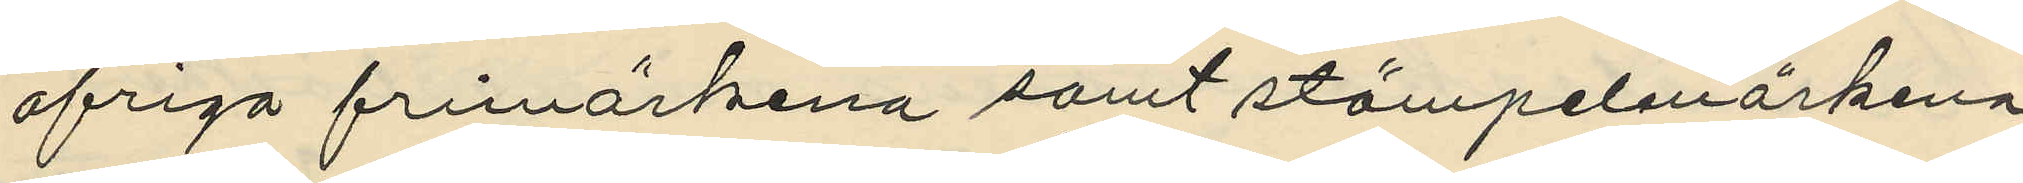ofriga frimärkena samt stämpelmärkena
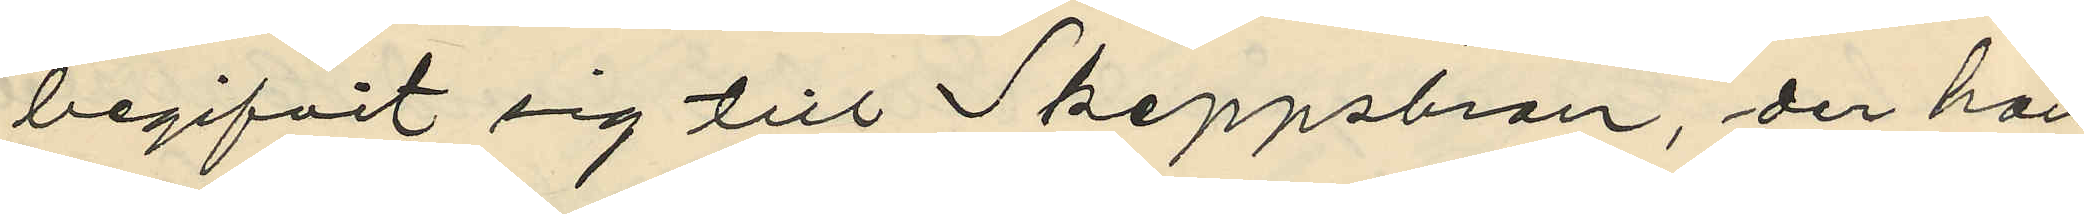begifvit sig till Skeppsbron, der han
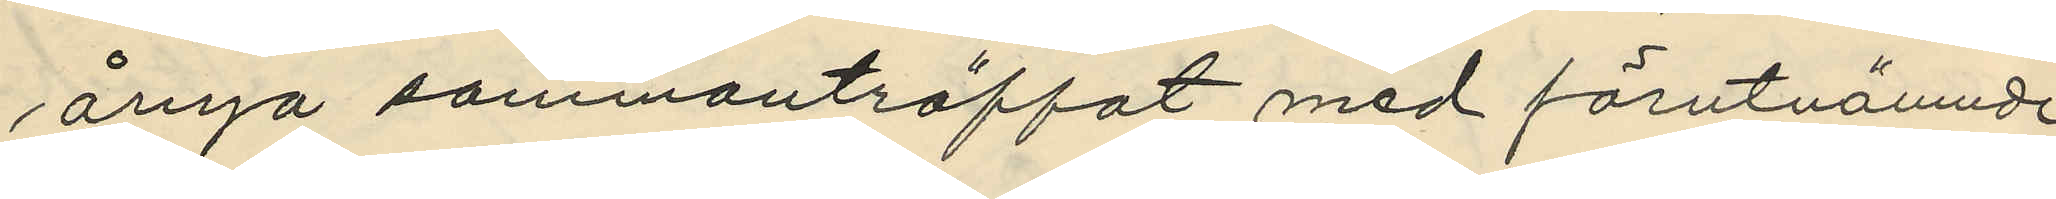ånyo sammanträffat med förutnämnde
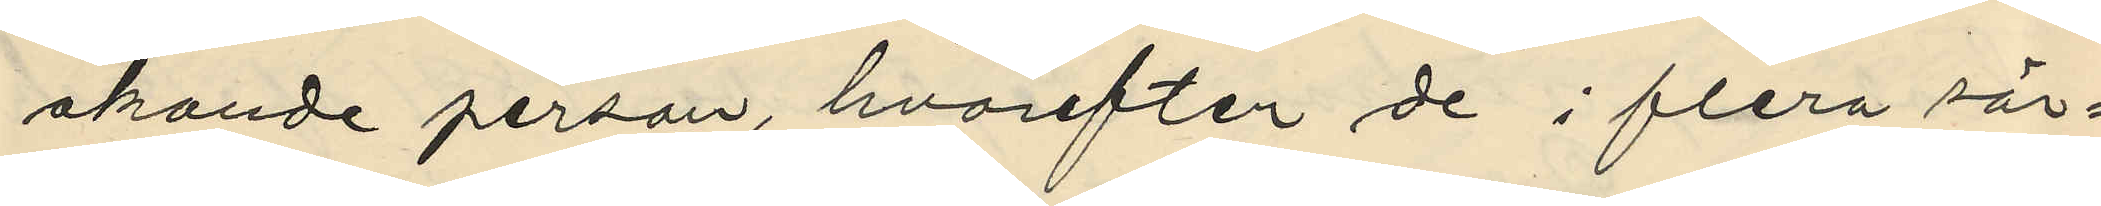okande person, hvarefter de i flera sär¬
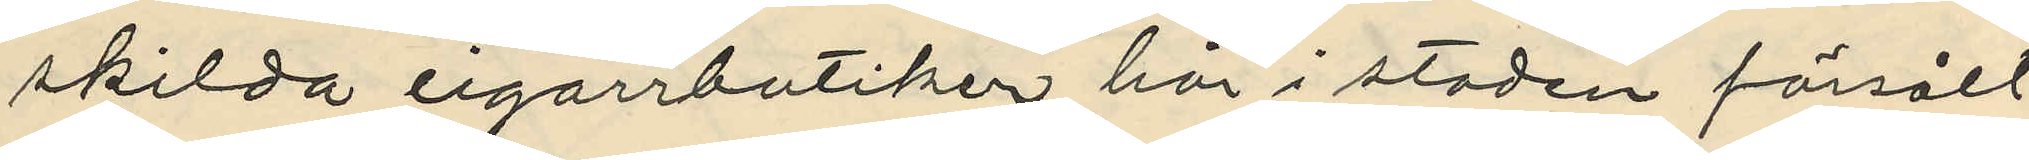skilda cigarrbutiker här i staden försålt
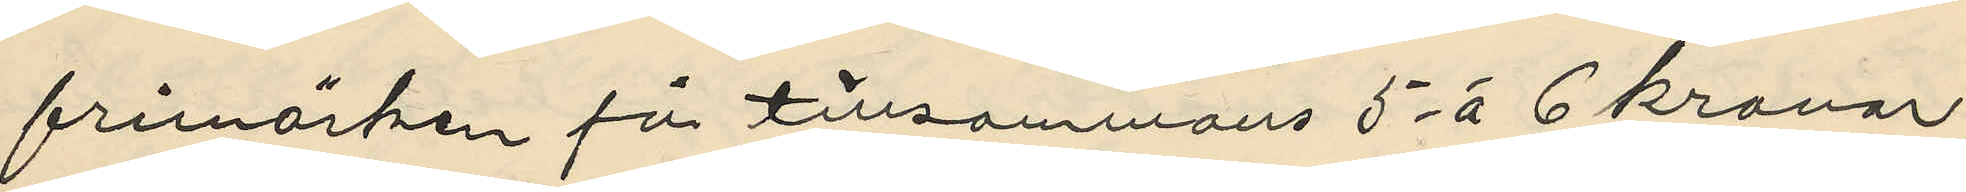frimärken för tillsammans 5 à 6 kronor
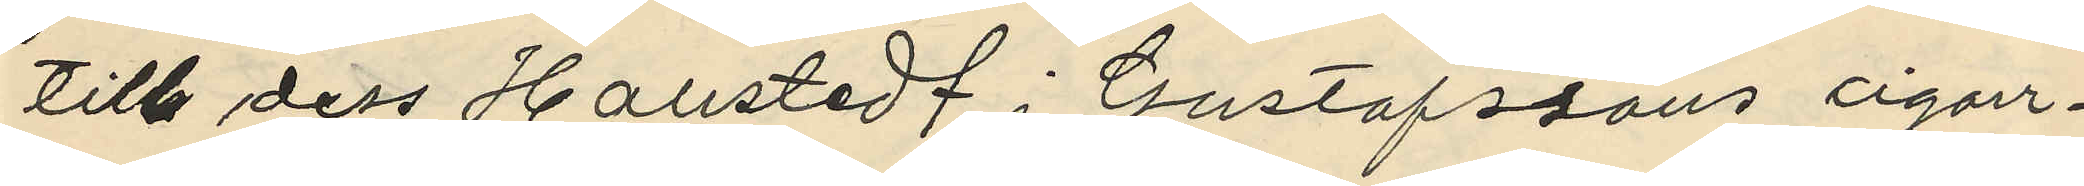till dess Hallstedt i Gustafssons cigarr¬
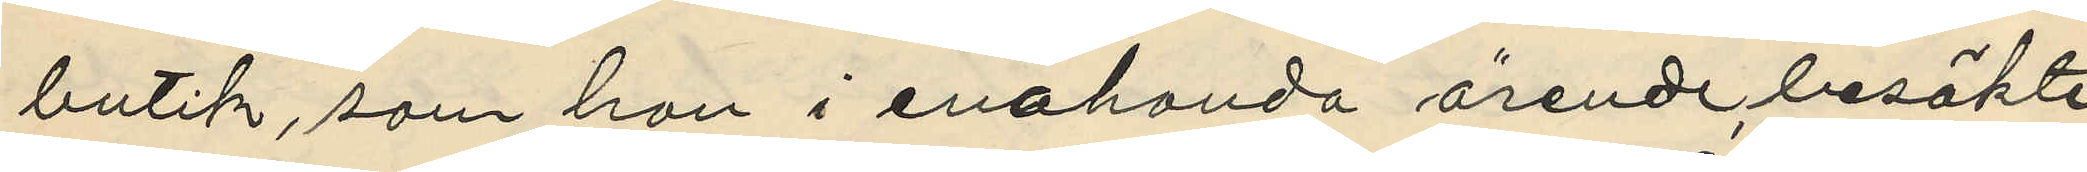butik, som han i enahanda ärende, besökte
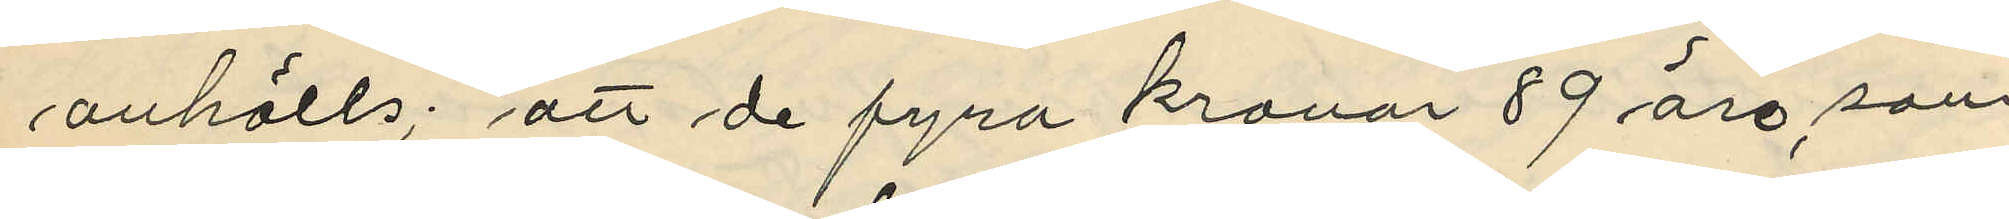anhölls; att de fyra kronor 89 öre, som
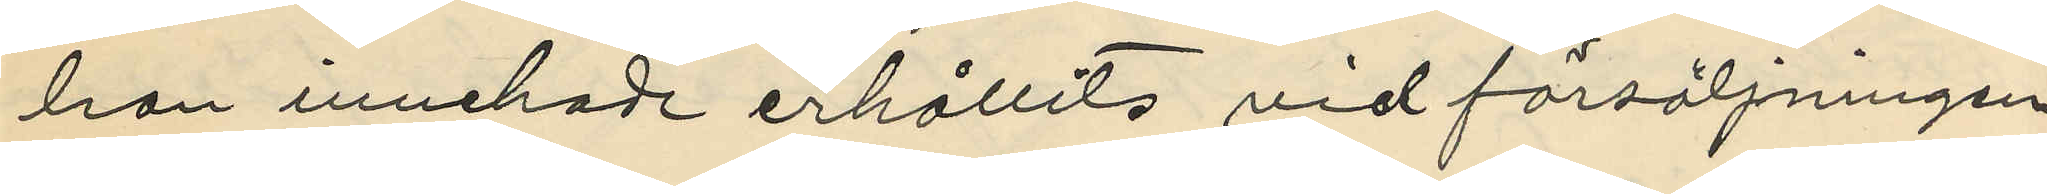han innehade erhållits vid försäljningen
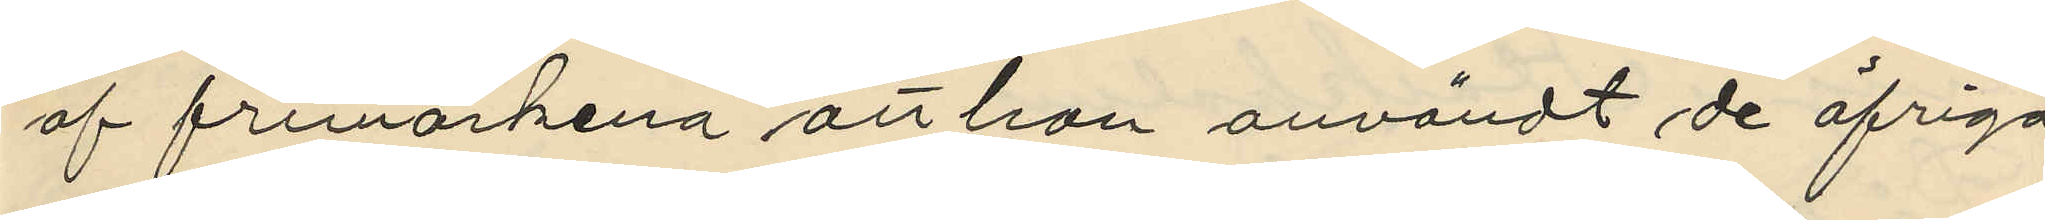af frimärkena att han användt de öfriga
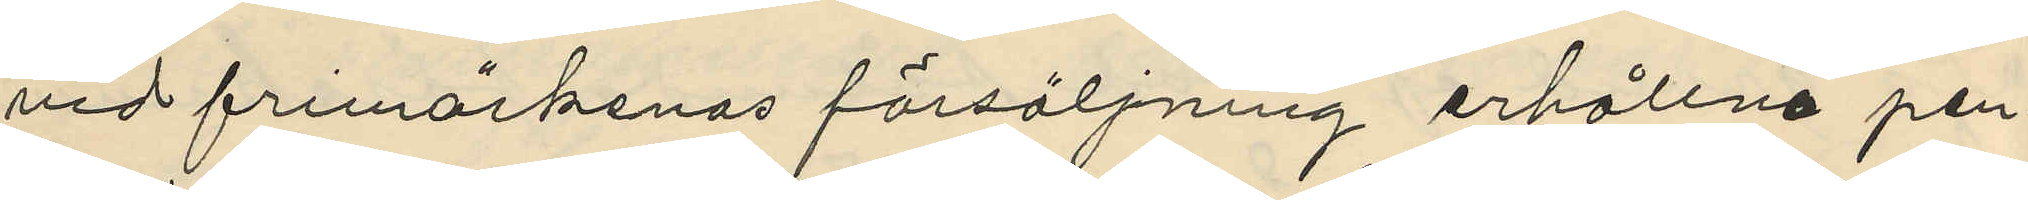vid frimärkenas försäljning erhållna pen¬
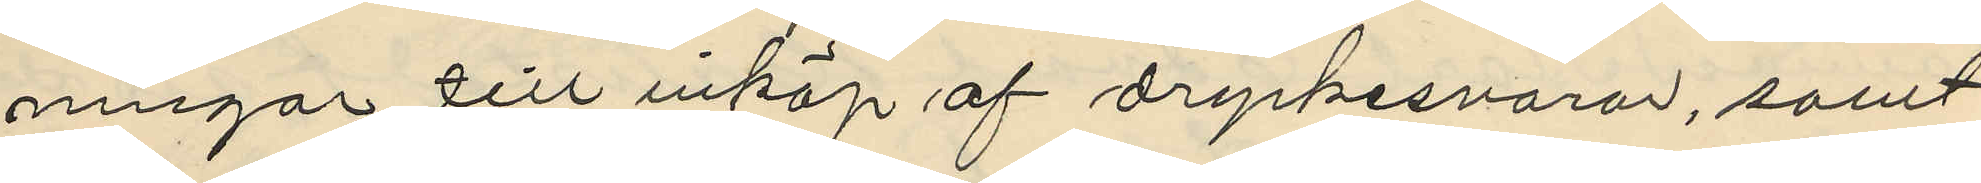ningar till inköp af dryckesvaror, samt
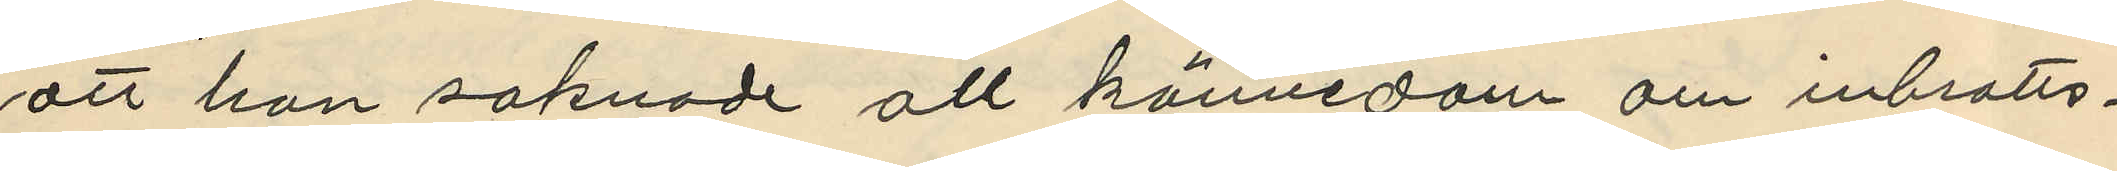att han saknade all kännedom om inbrotts¬
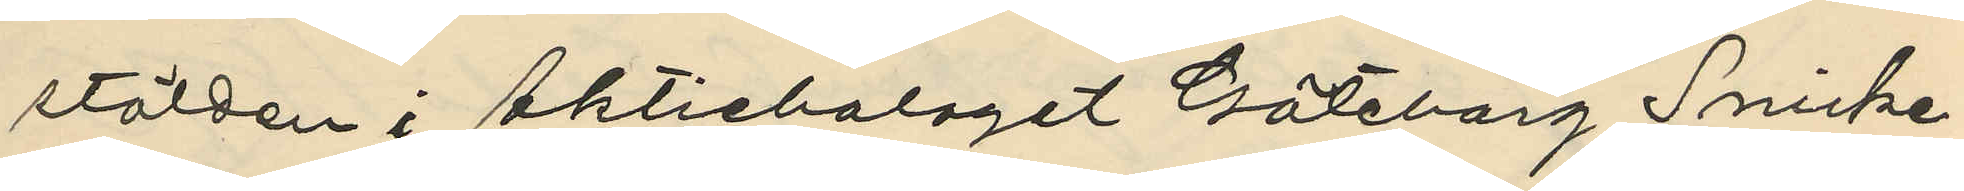stölden i Aktiebolaget Göteborg Snicke¬
